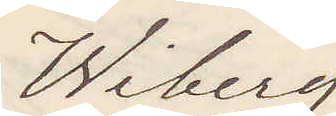Wiberg
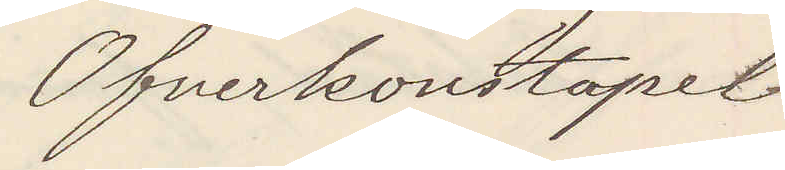Öfverkonstapel
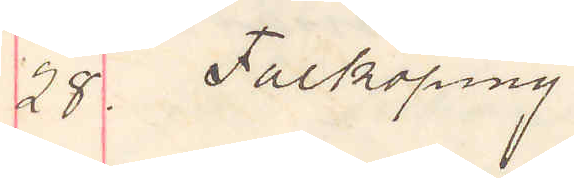28. Falköping.
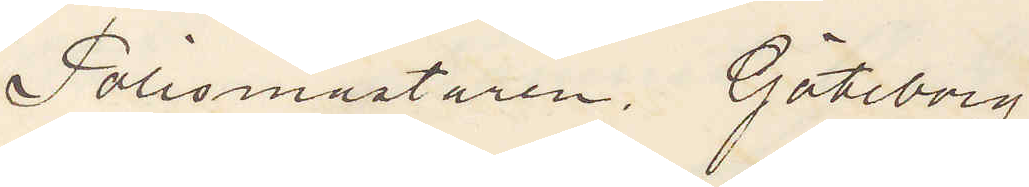Polismästaren. Göteborg.
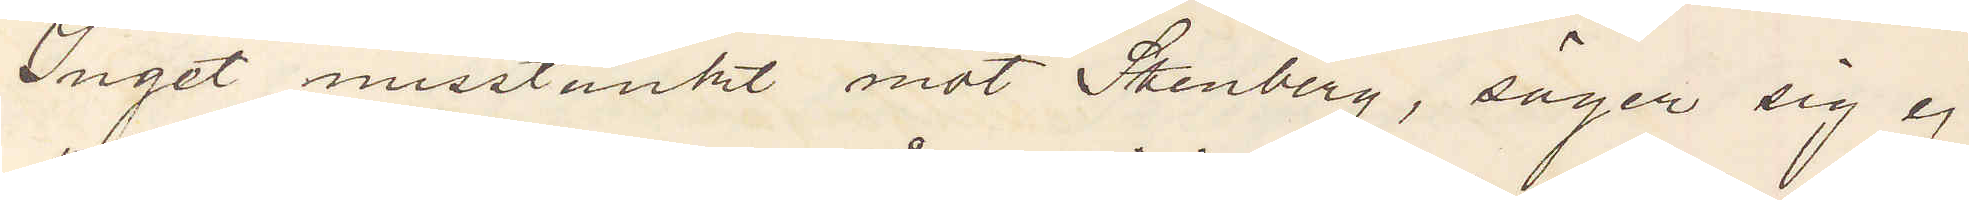Inget misstänkt mot Stenberg, säger sig ej
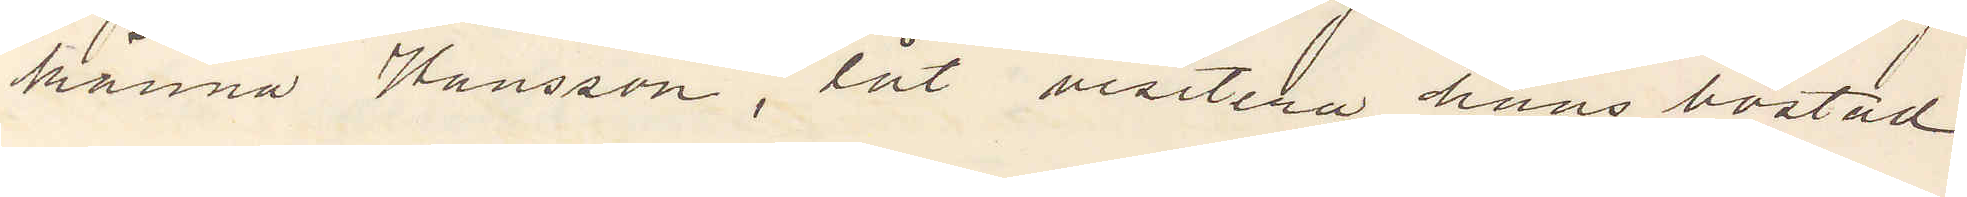känna Hansson, låt visitera hans bostad
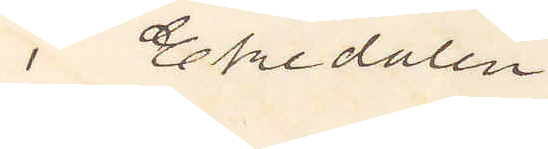i Ekedalen.
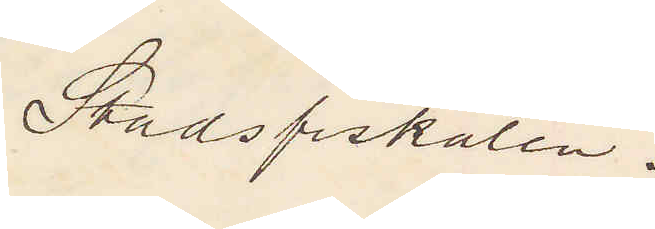Stadsfiskalen.
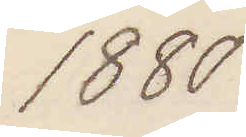1880
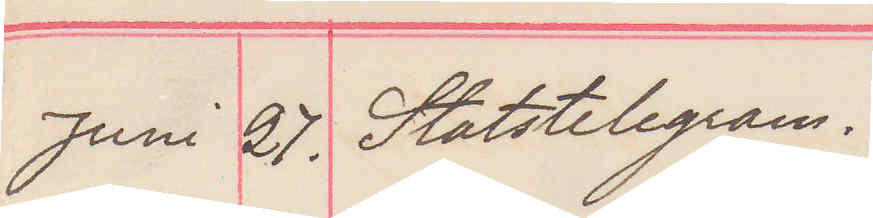Juni 27. Statstelegram.
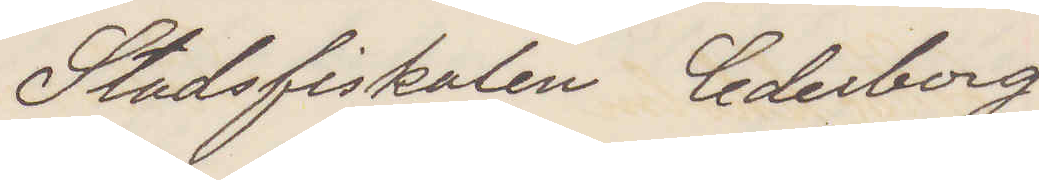Stadsfiskalen Cederborg
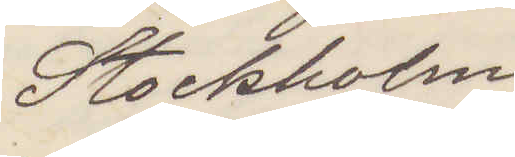Stockholm
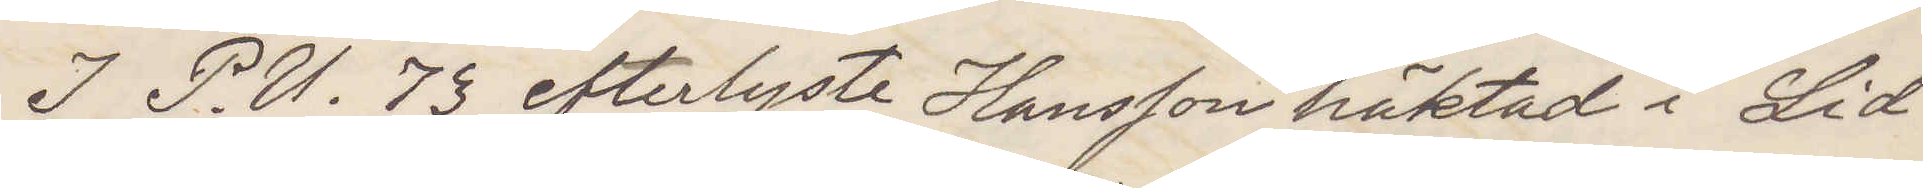I P. U. 73 efterlyste Hansson häktad i Lid¬
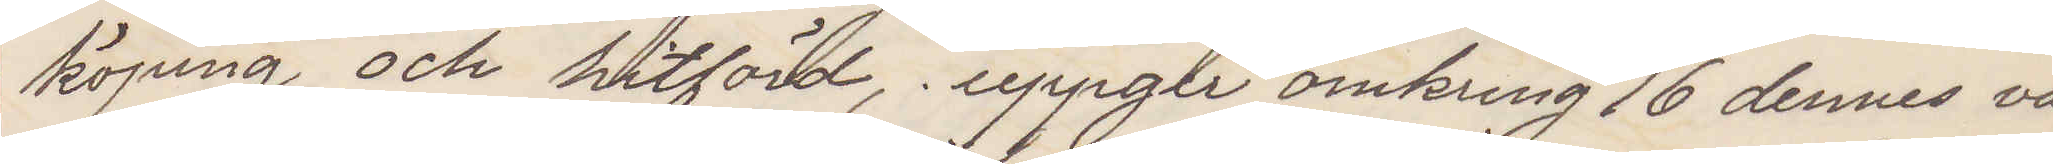köping och hitförd, uppger omkring den 16 dennes va¬
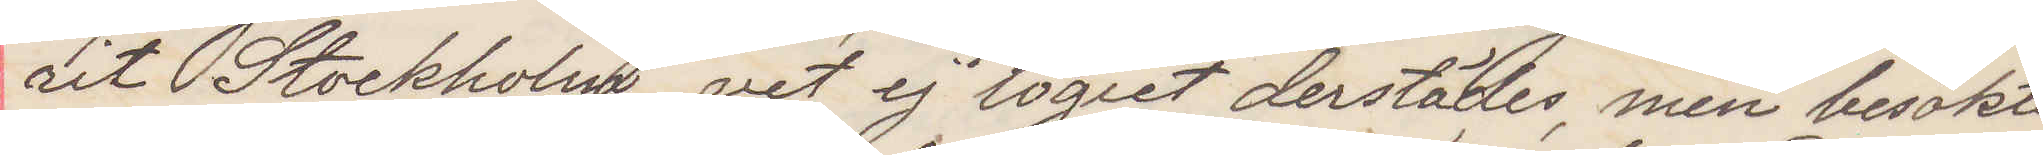rit Stockholm vet ej logiet derstädes, men besökte
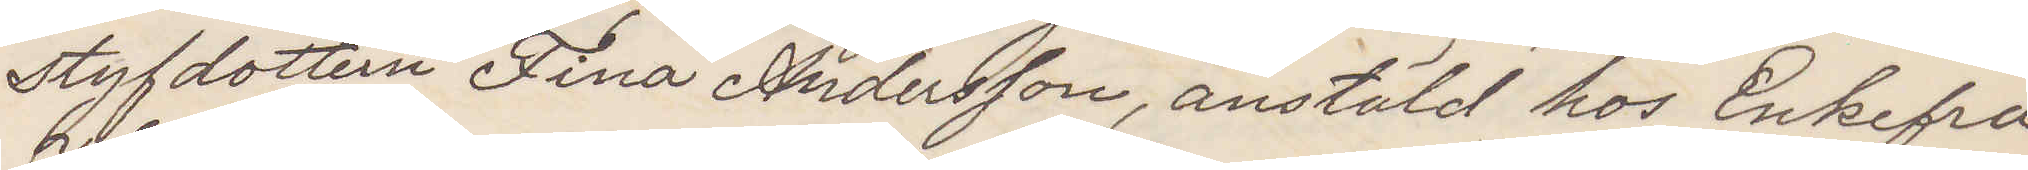styfdottern Fina Andersson, anstäld hos Enkefru
